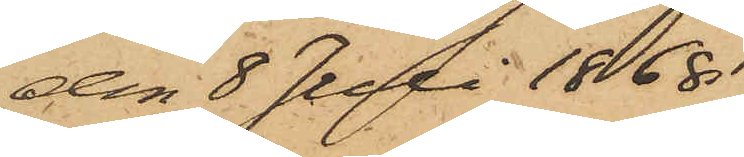den 8 Juli 1868
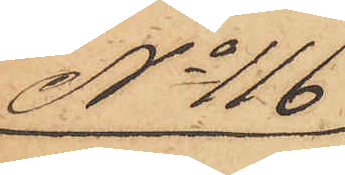No 116
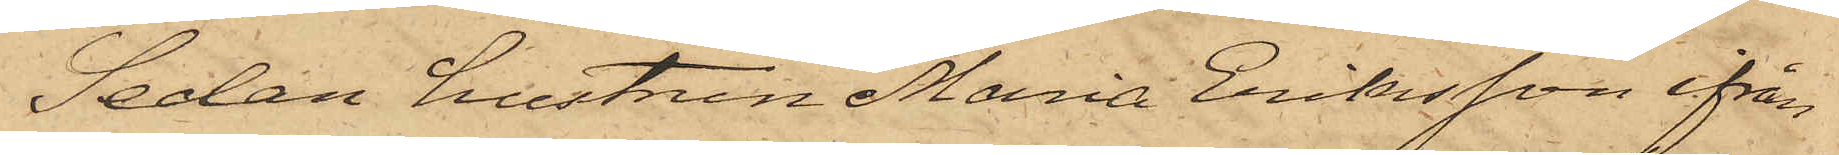Sedan hustrun Maria Eriksson ifrån
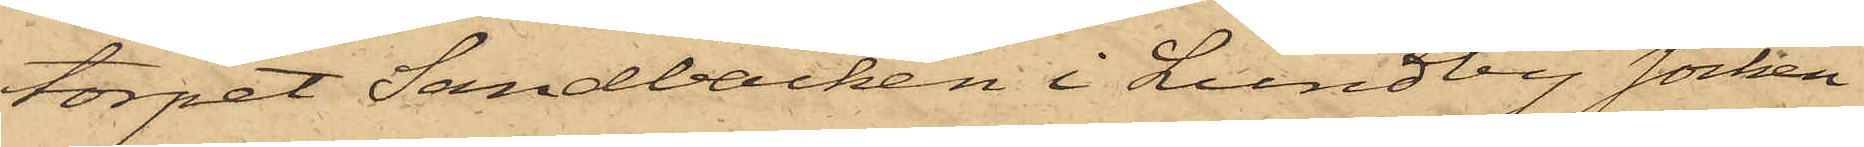torpet Sandbacken i Lundby socken
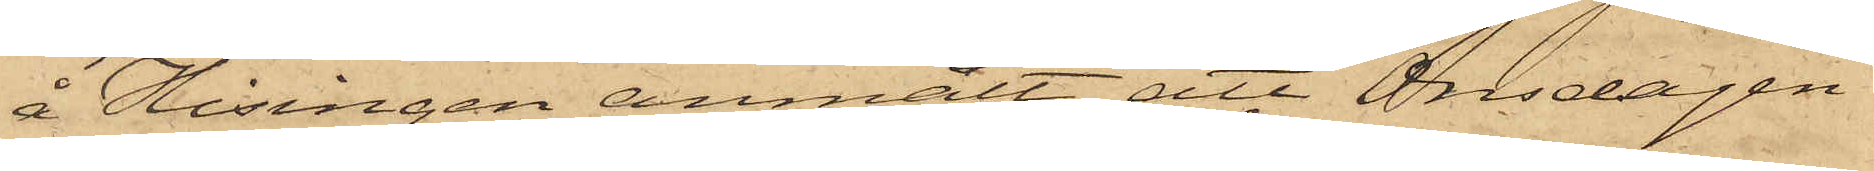å Hisingen anmält att Onsdagen
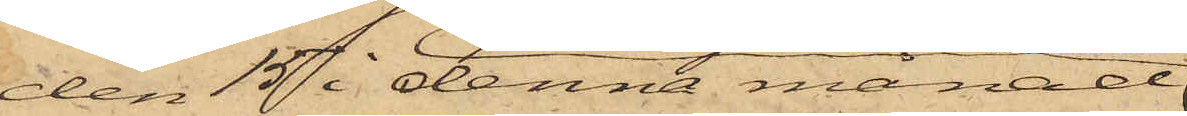den 15 i denna månad
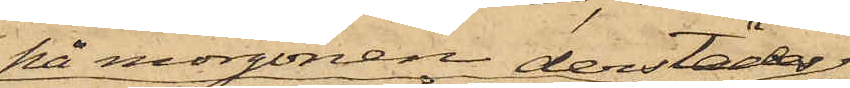på morgonen derstädes
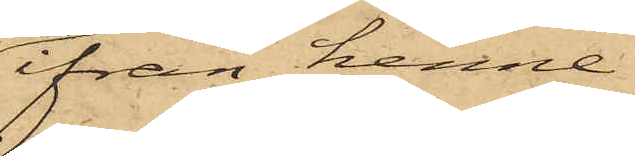ifrån henne
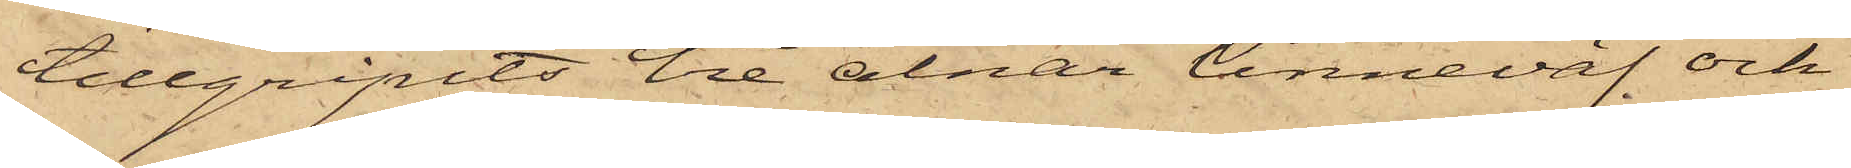tillgripits tre alnar linneväf och
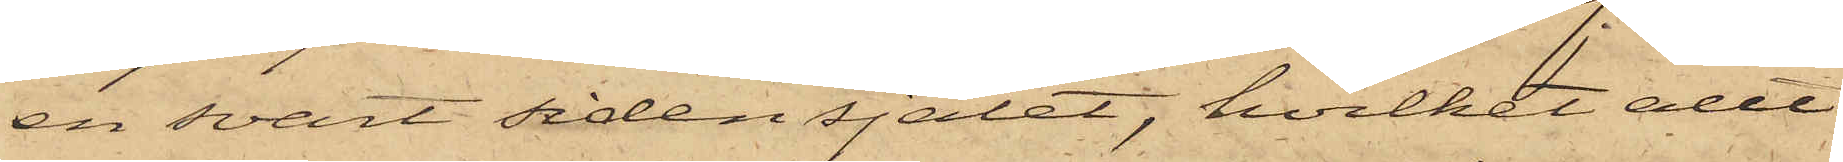en svart sidensjalet, hvilket allt
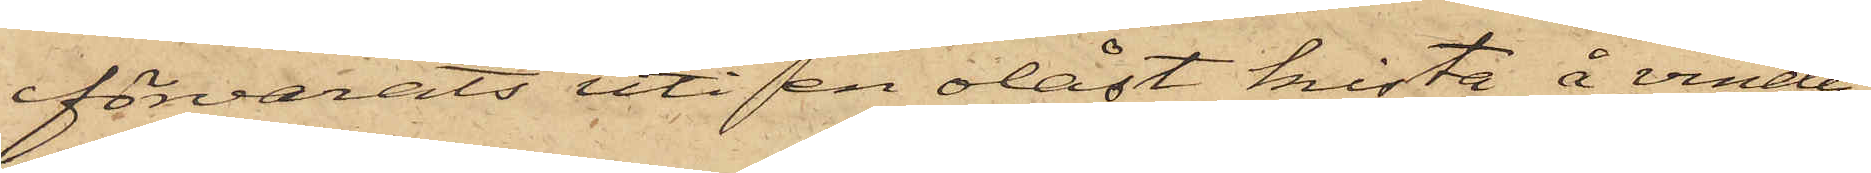förvarats uti en olåst kista å vinden
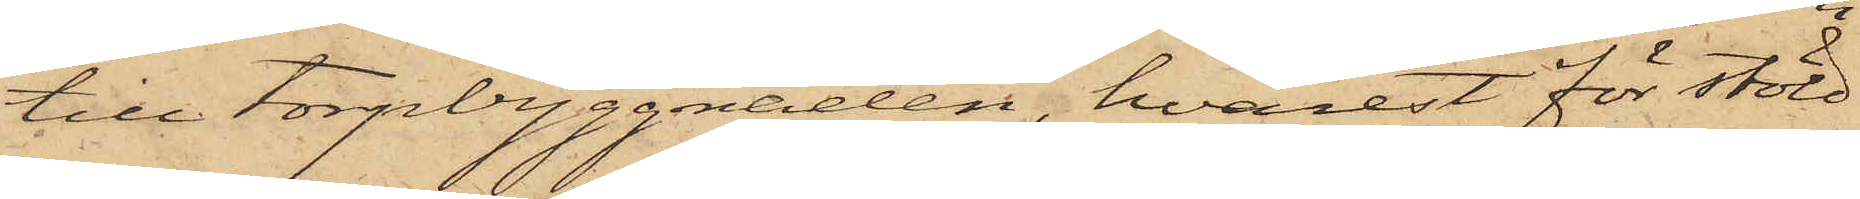till torpbyggnaden, hvarest för stöld
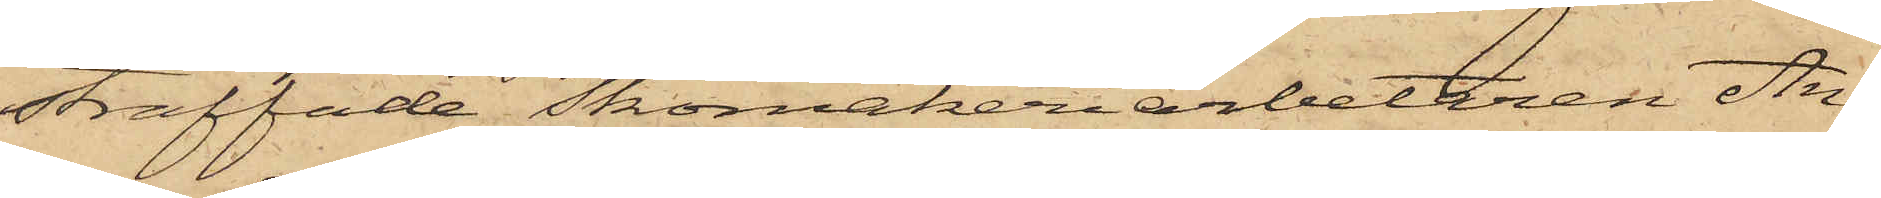straffade Skomakeriarbetaren An¬
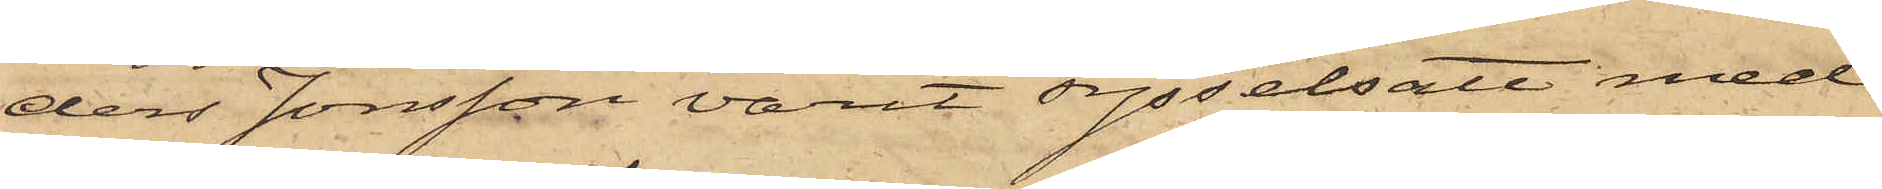ders Jonsson varit sysselsatt med
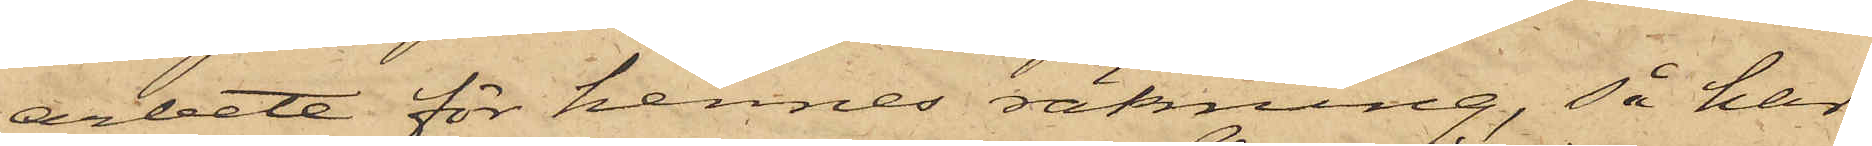arbete för hennes räkning, så har
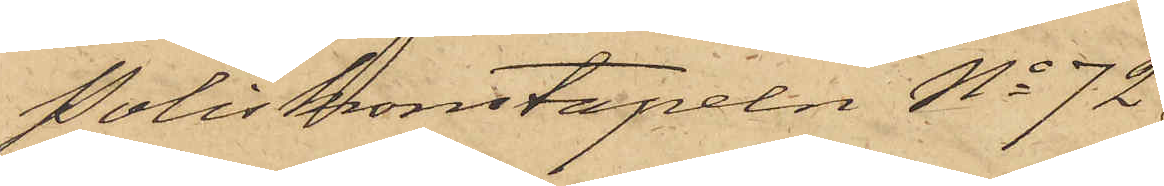Poliskonstapeln No 72
